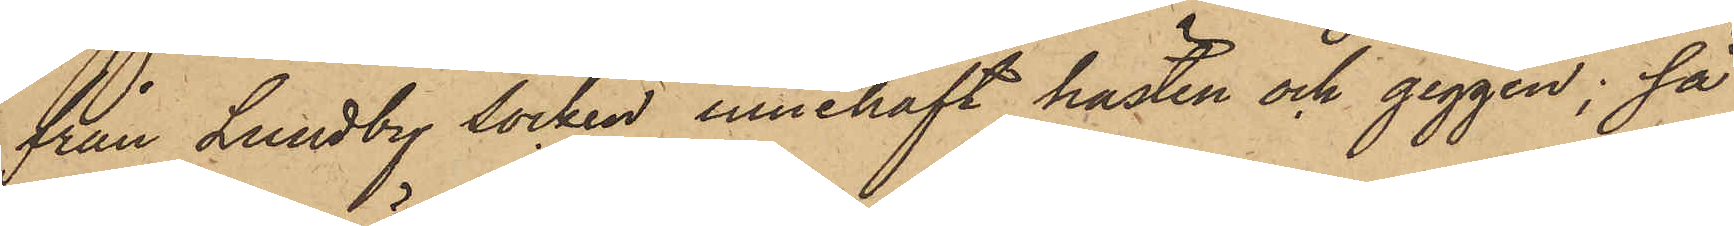från Lundby Socken innehaft hästen och giggen; så
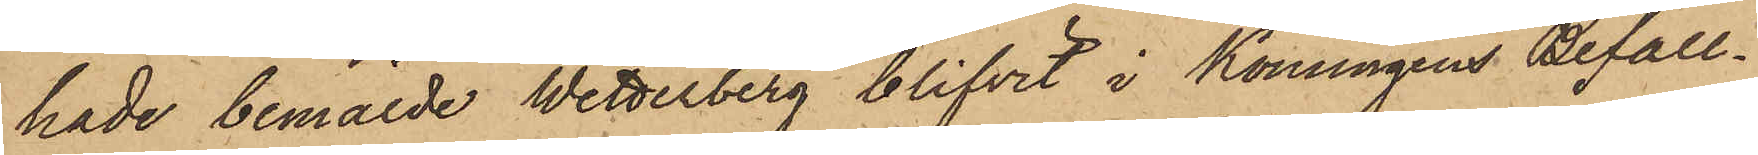hade bemälde Wetterberg blifvit i Konungens Befall¬
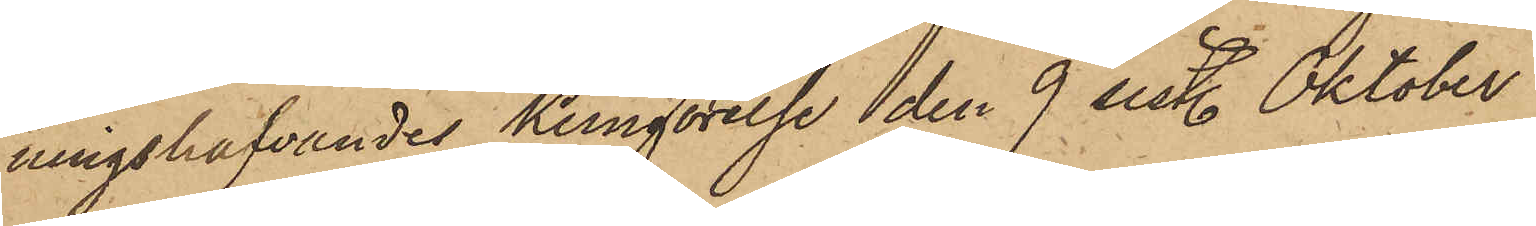ningshafvandes Kungörelse den 9 sist. Oktober
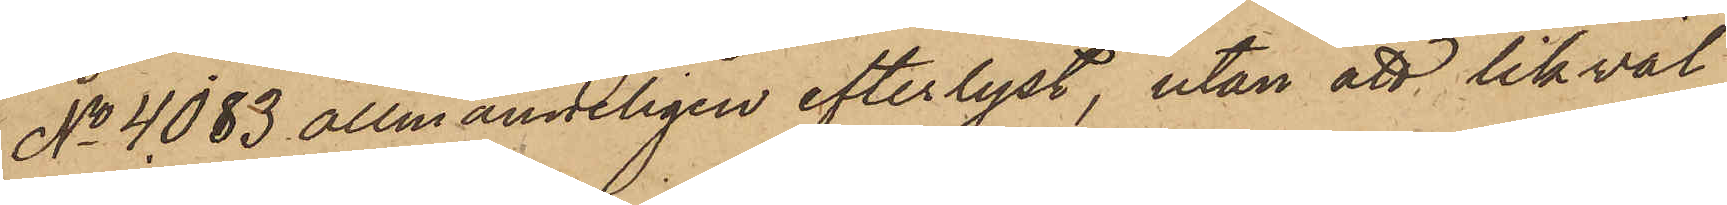No 4083 allmänneligen efterlyst, utan att likväl
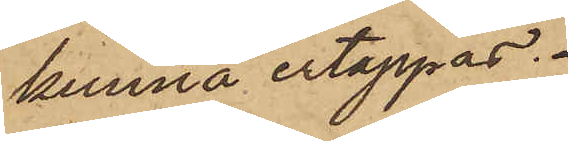kunna ertappas.
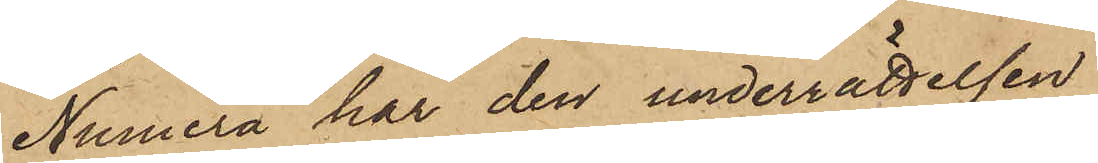Numera har den underrättelsen
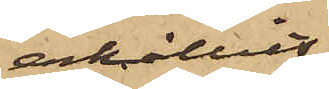erhållits,
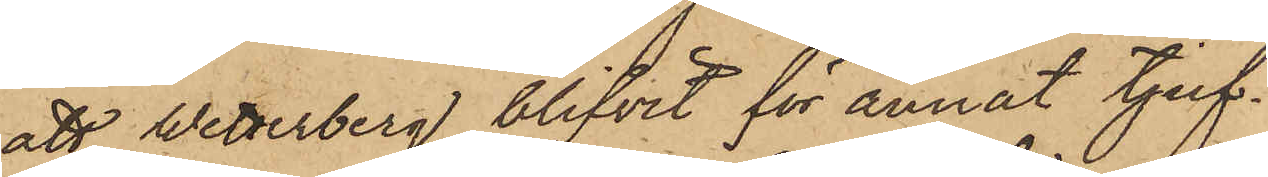att Wetterberg blifvit för annat tjuf¬
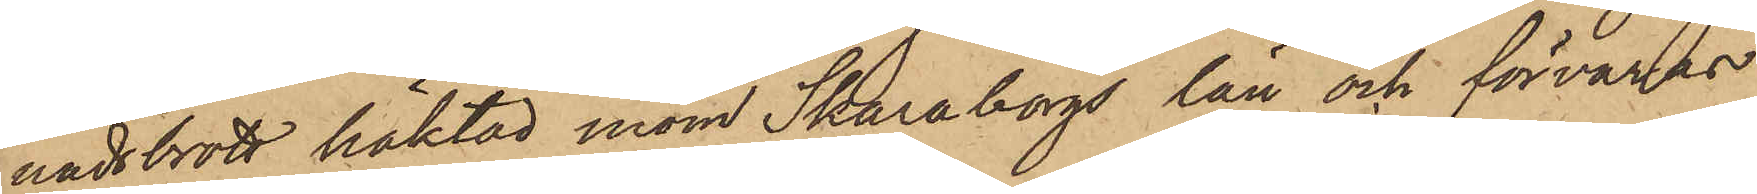nadsbrott häktad inom Skaraborgs län och förvaras
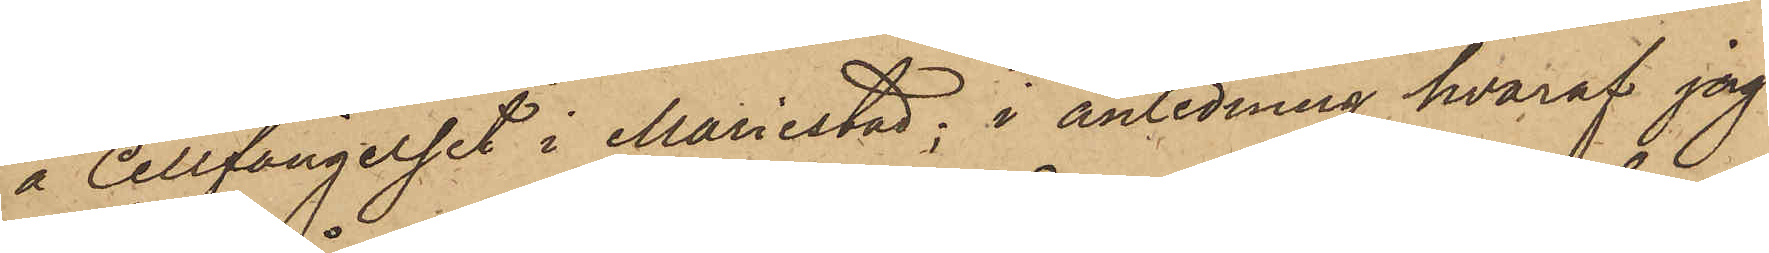å Cellfängelset i Mariestad; i anledning hvaraf jag
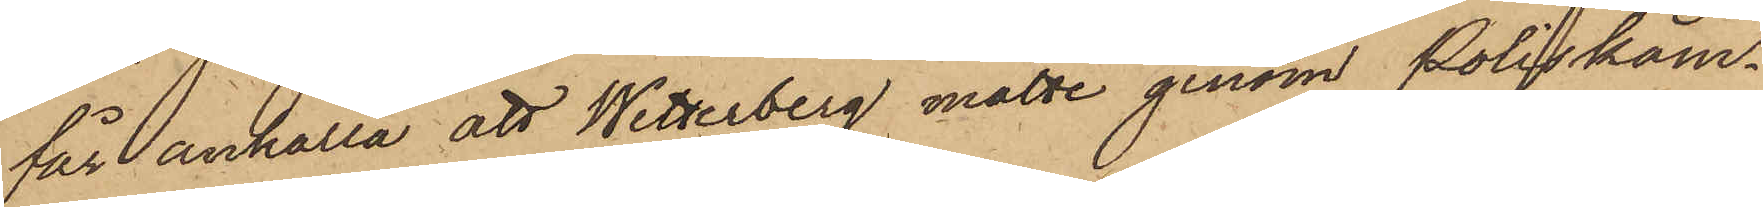får anhålla att Wetterberg måtte genom Poliskam¬
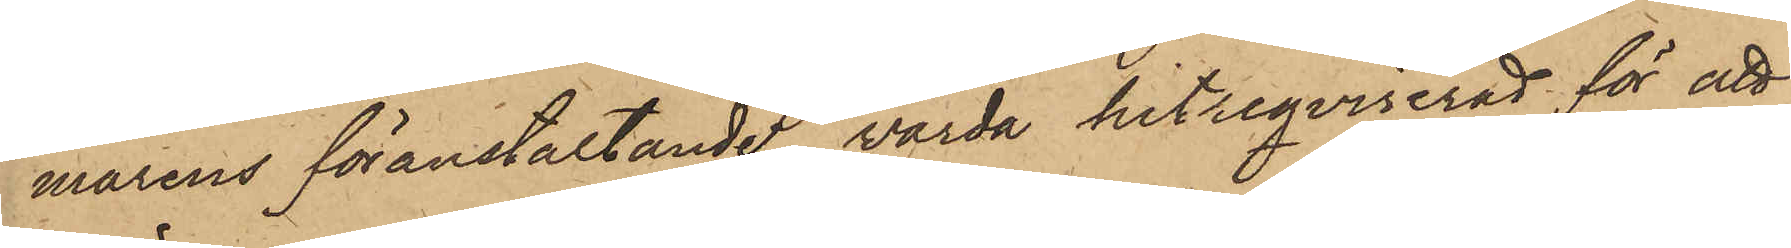marens föranstaltande, värda hitreqvirerad för att
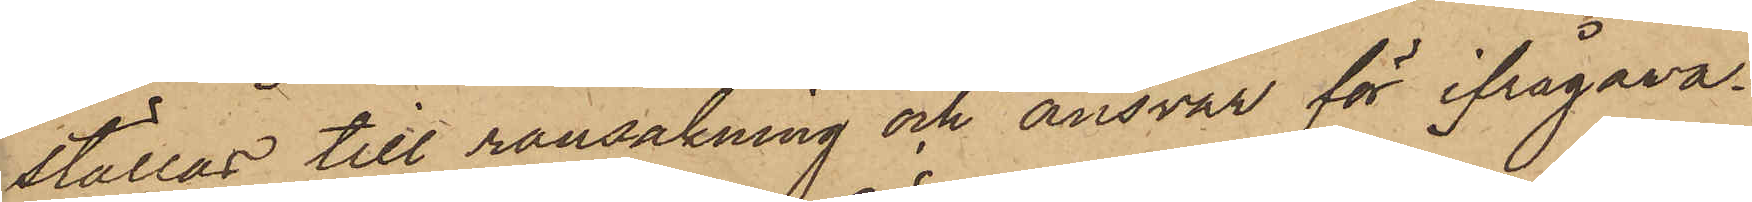ställas till rannsakning och ansvar för ifrågava¬
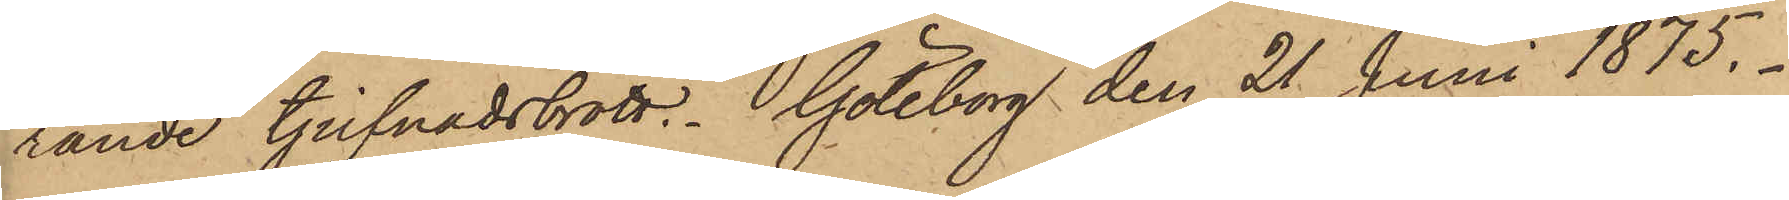rande tjufnadsbrott. Göteborg den 21 Juni 1875.
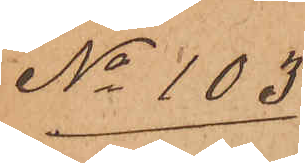No 103
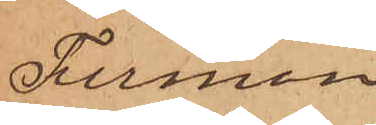Firman
